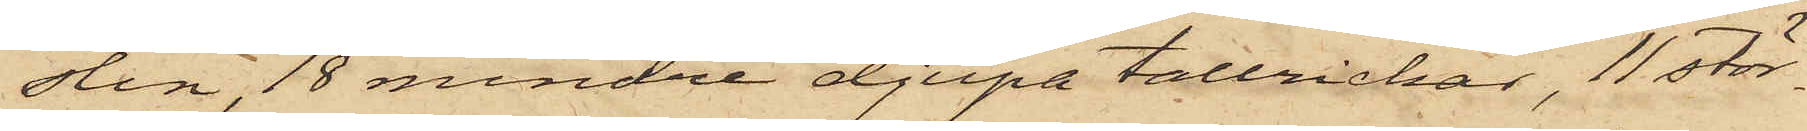slin, 18 mindre djupa tallrickar, 11 stör¬
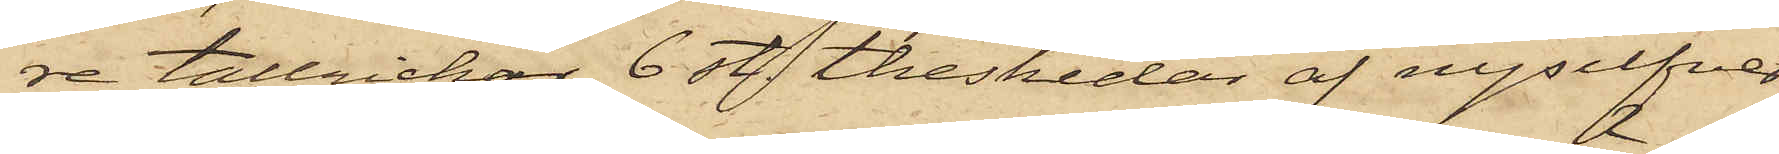re tallrickar, 6 st. theskedar af nysilfver,
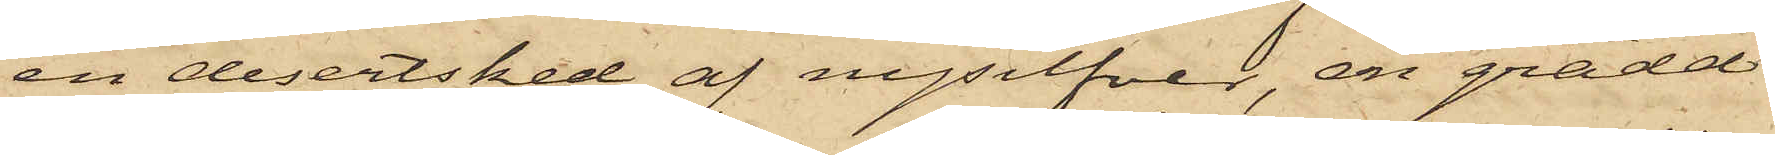en desertsked af nysilfver, en grädd¬
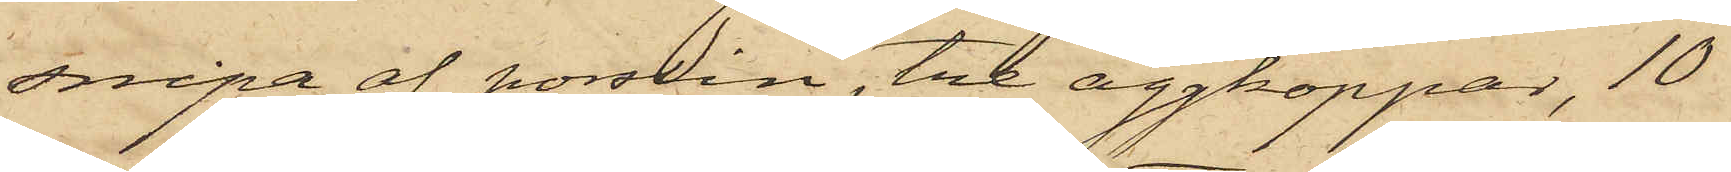snipa af porslin, tre äggkoppar, 10
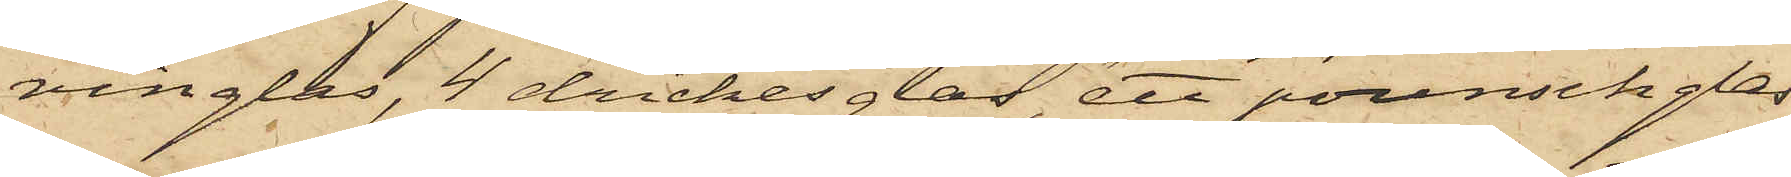vinglas, 4 drickesglas, ett pounschglas
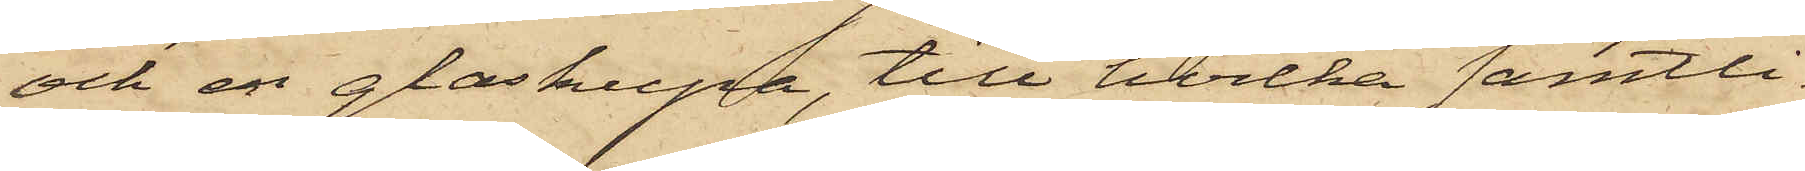och en glaskupa, till hvilka samtli¬
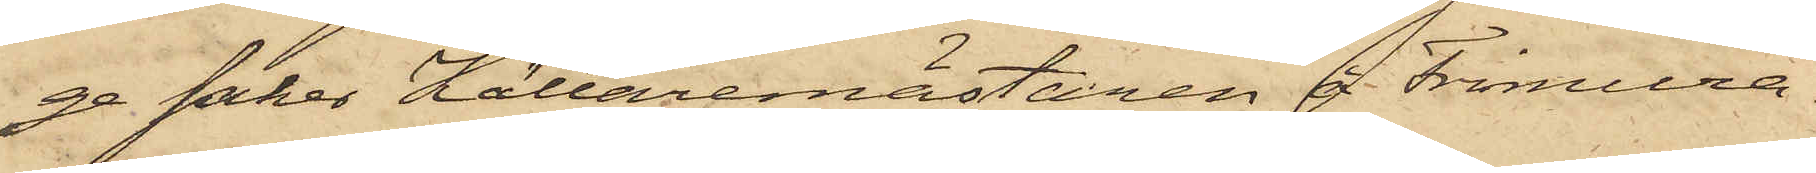ge saker Källaremästaren å Frimura¬
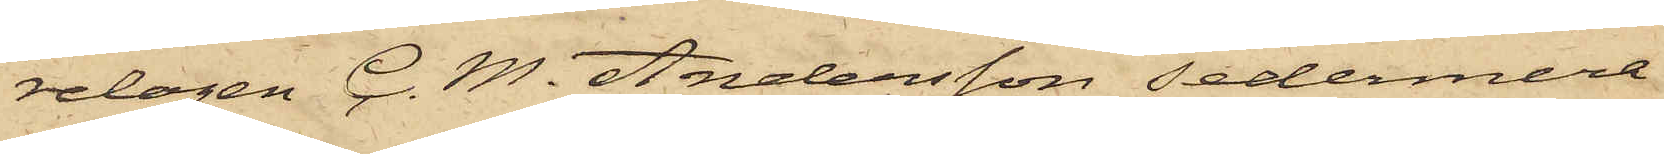relogen C. M. Andersson sedermera
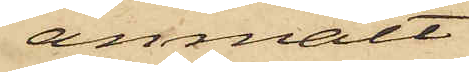anmält
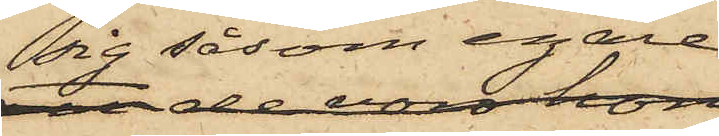sig såsom egare
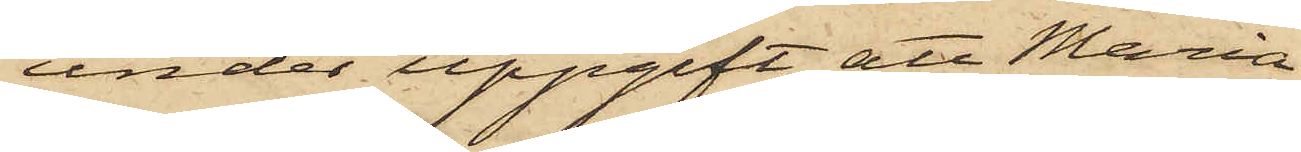, under uppgift att Maria
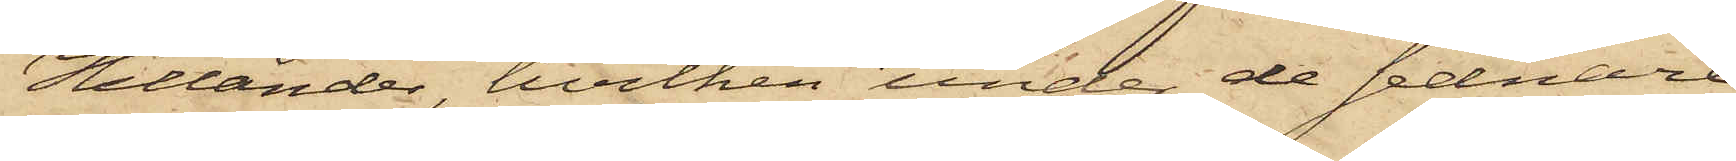Hellander, hvilken under de sednare
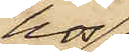hos
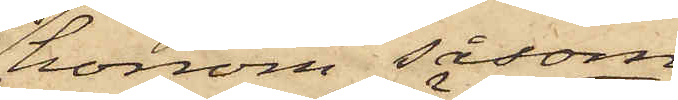honom såsom
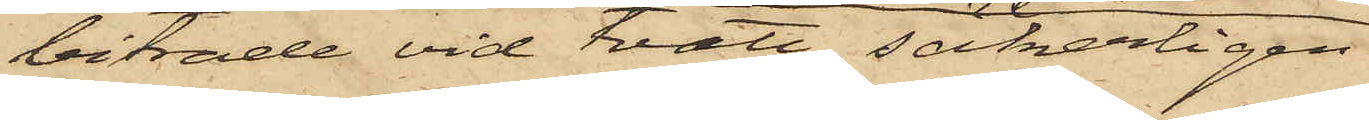biträde vid tvätt, säkerligen
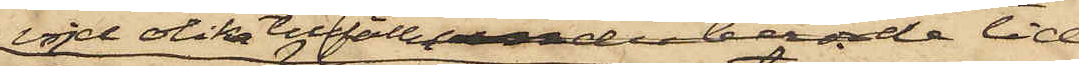vid olika tillfällen under berörde tid
